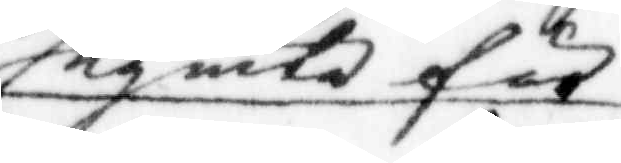segnela fär¬
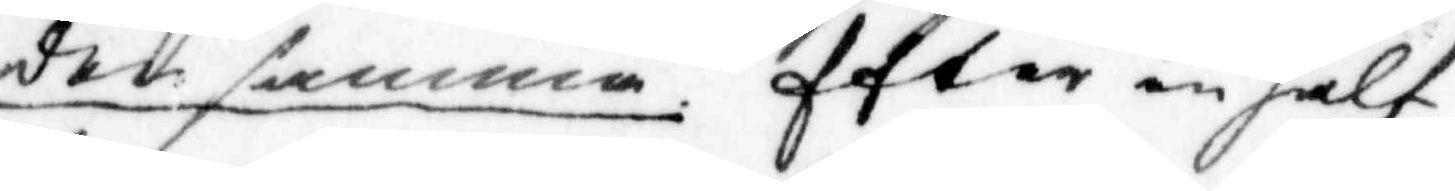der samma. Efter en half
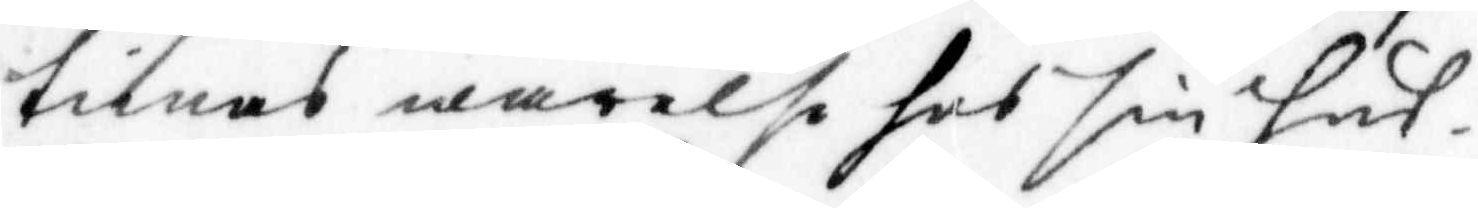timas warelse hos din hus¬
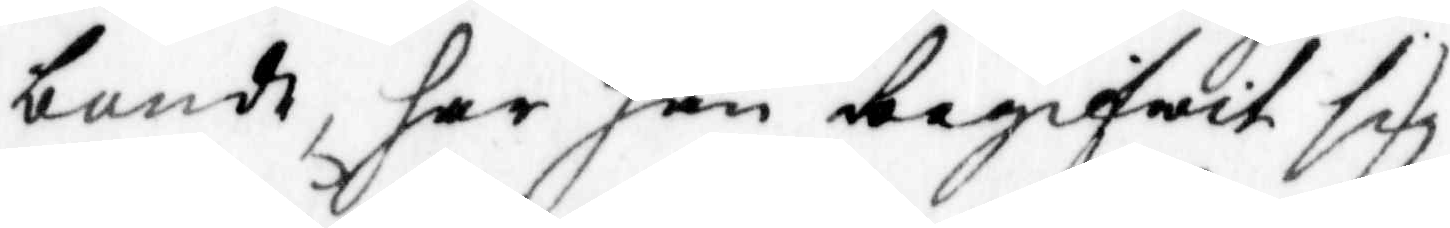bonde, har han begifwit sigh
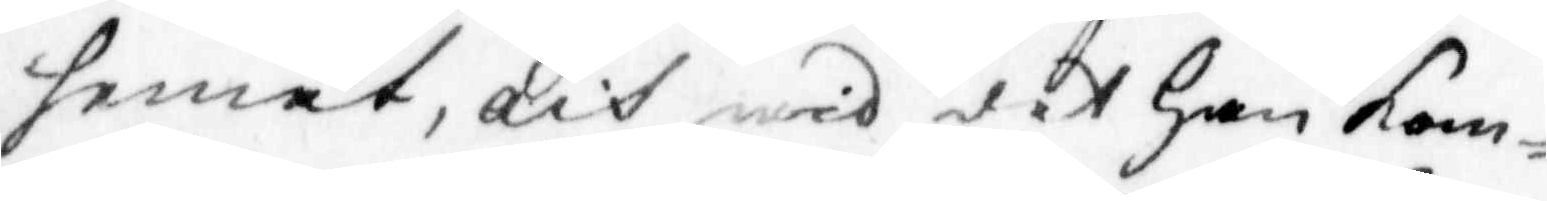hemåt, och wid det han kom¬
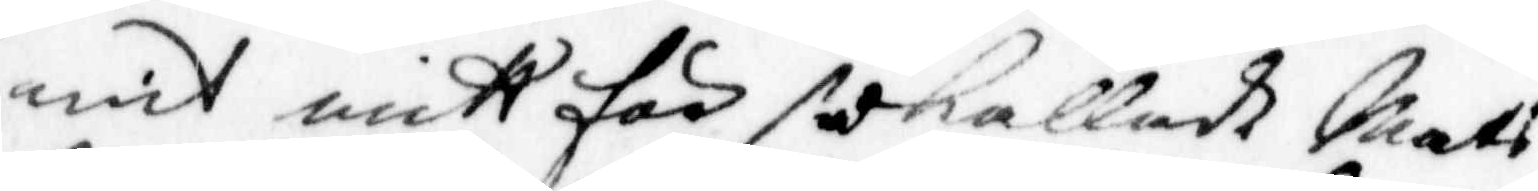mit mitt för sedkallad Mats
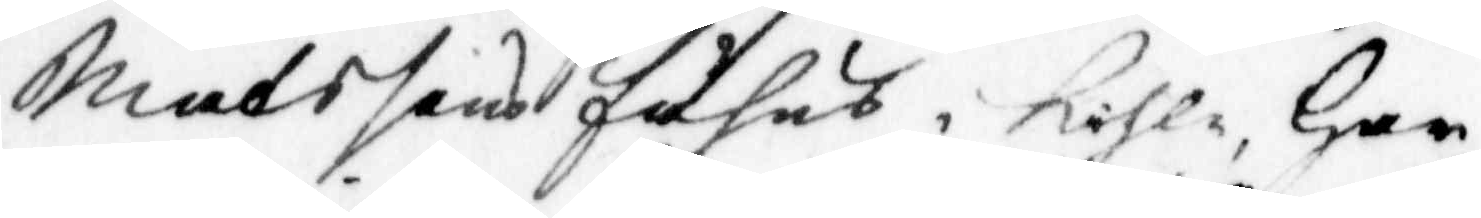Matssons fähus, kihle, han
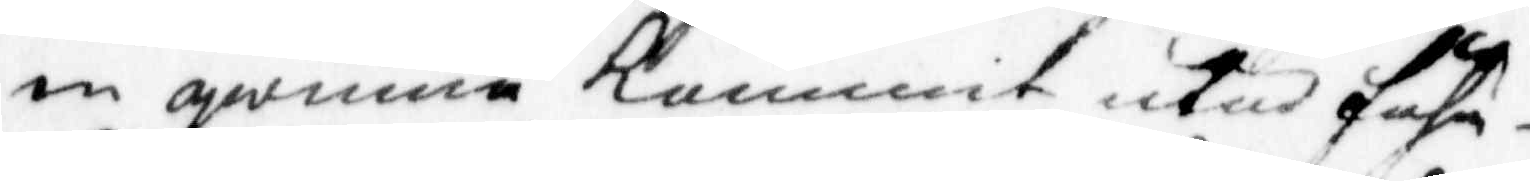en qwinna kommit utur fähu¬
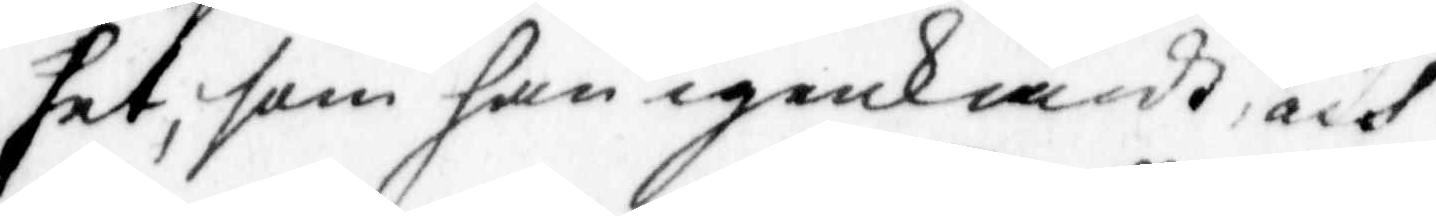set, som han igenkändt, och
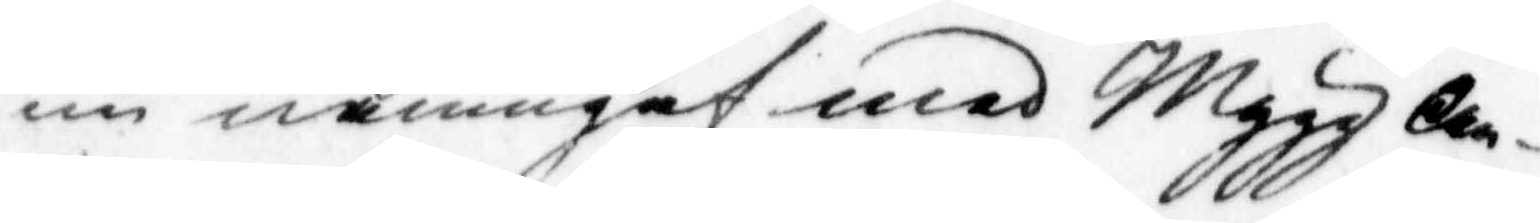nu namngaf med Mygg An¬
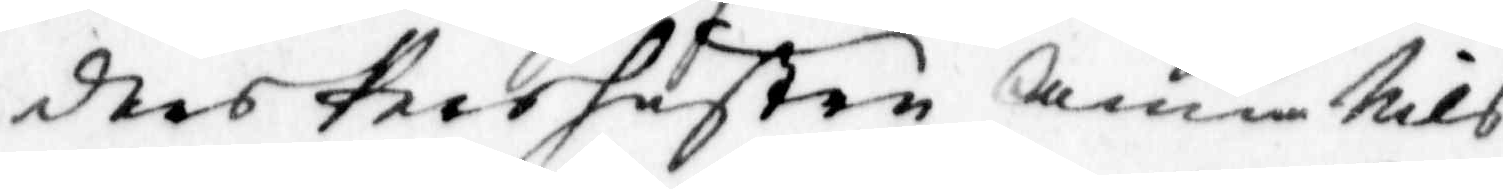ders Pers hustru Anna Nils¬
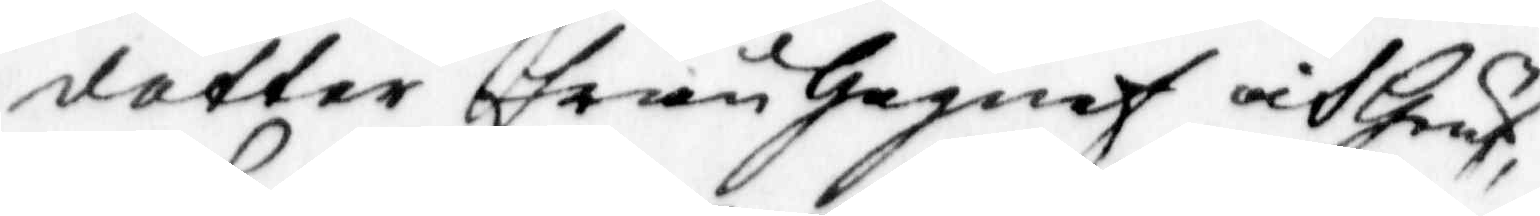dotter från Gagnef och Hrug,
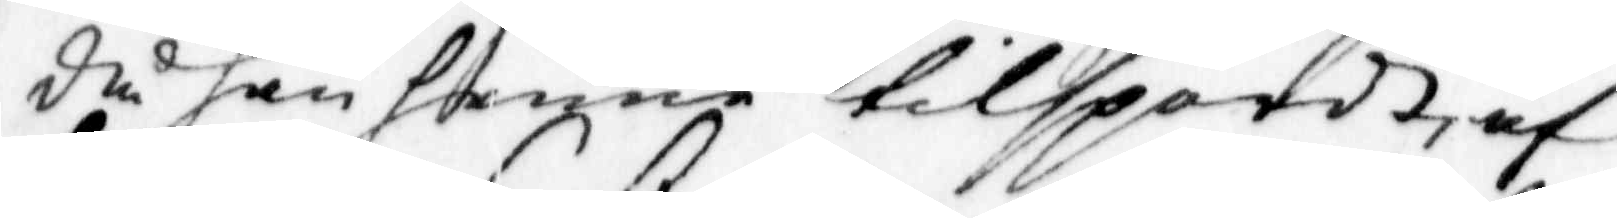då han henne tillspordt, af
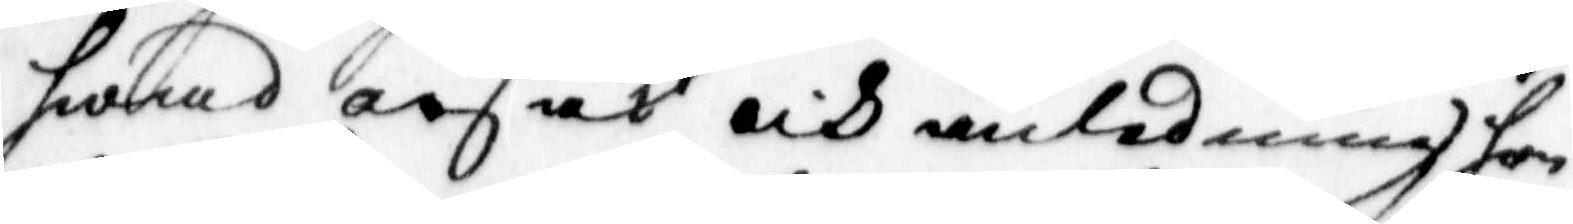hwad orsak och anledning hon
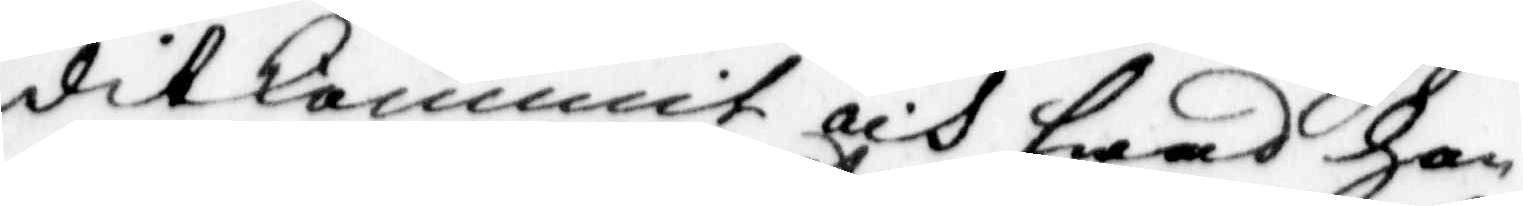dit kommit och hwad hon
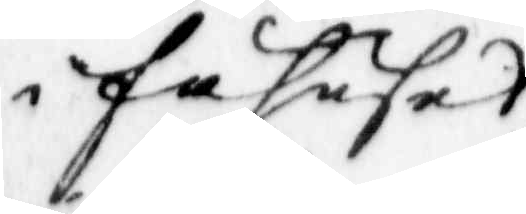i fähuset
